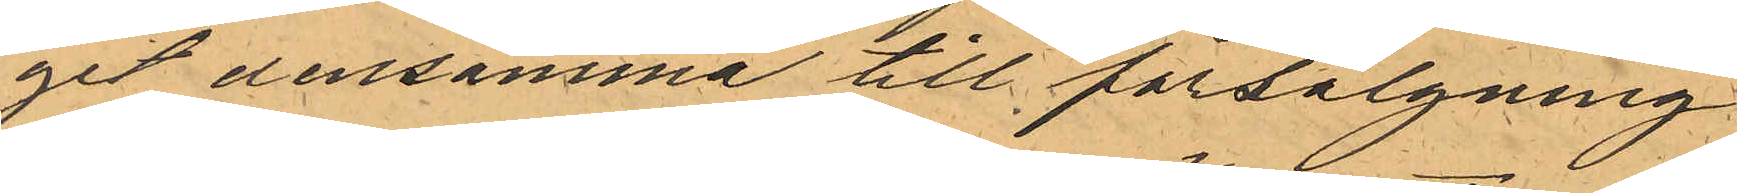git densamma till försälgning
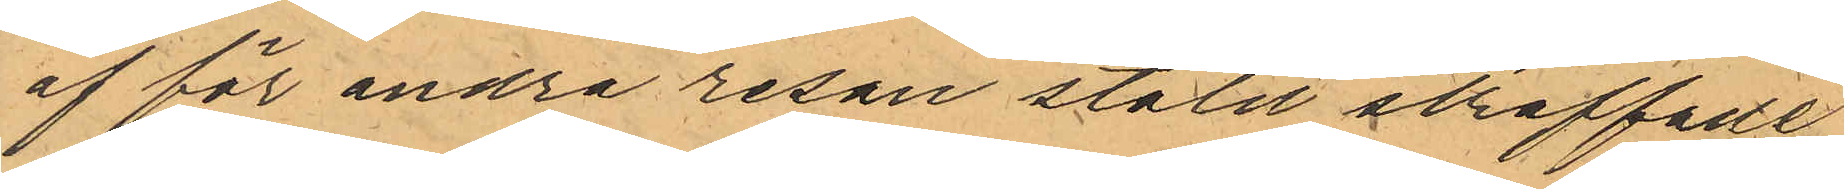af för andra resan stöld straffade
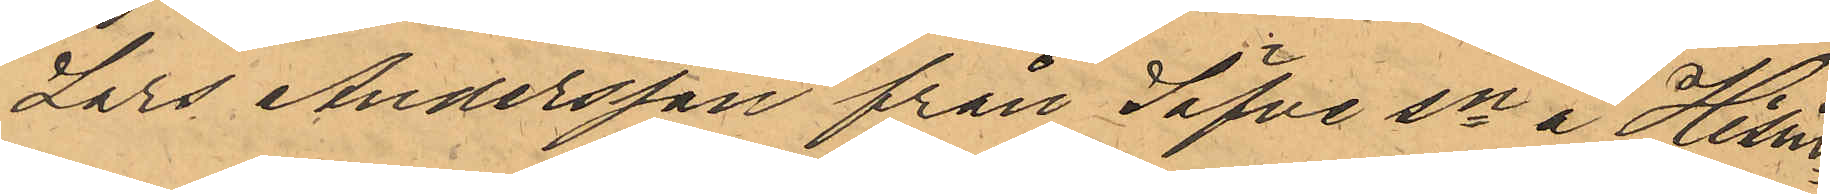Lars Andersson från Säfve sn å Hisin¬
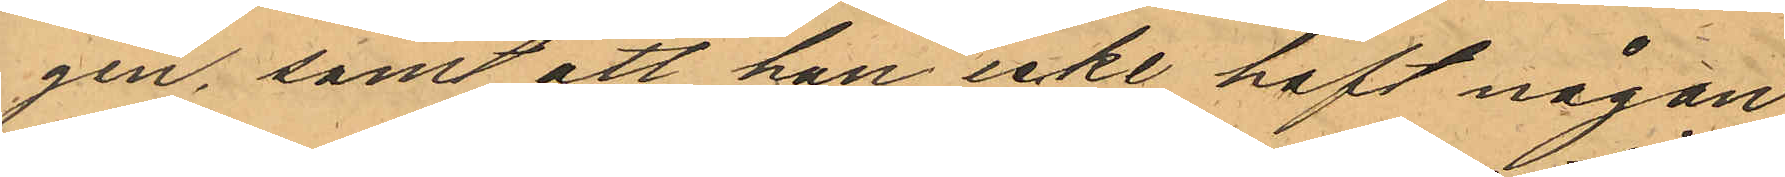gen, samt att han icke haft någon
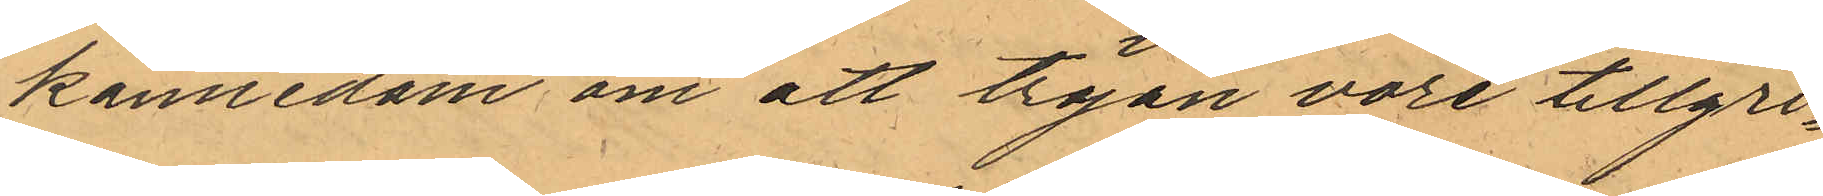kännedom om att tröjan vore tillgri¬
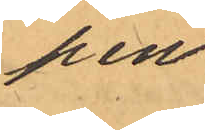pen.
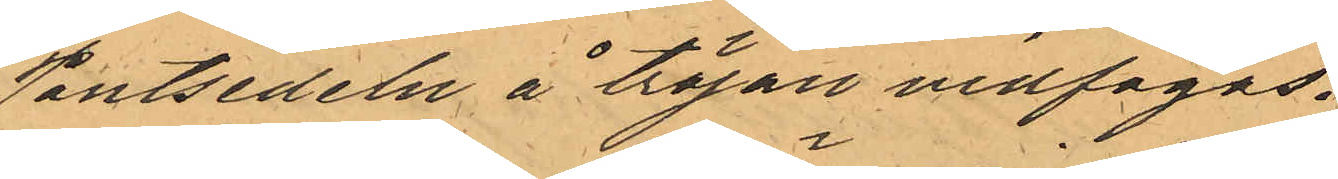Pantsedeln å tröjan vidfogas.
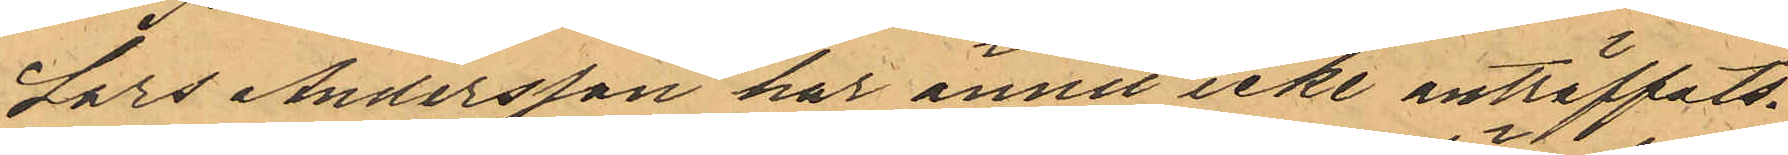Lars Andersson har ännu icke anträffats.
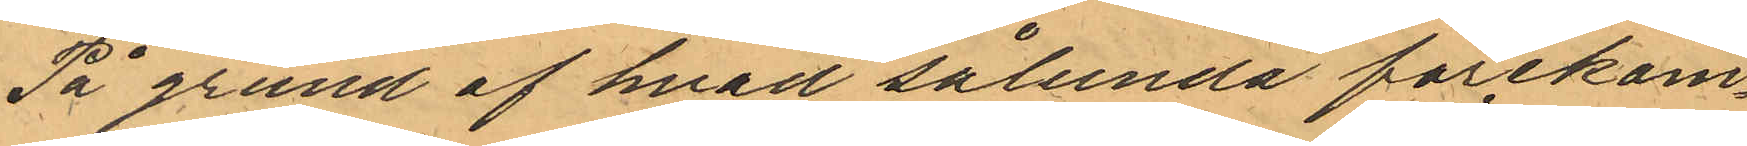På grund af hvad sålunda förekom¬
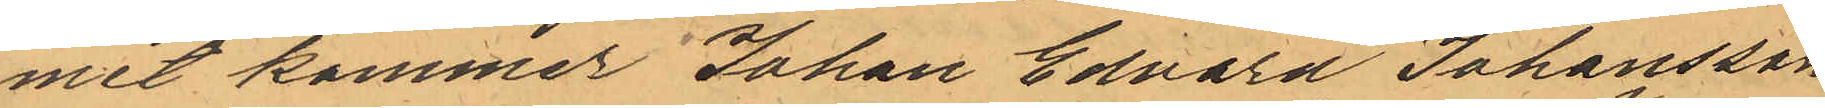mit kommer Johan Edvard Johansson
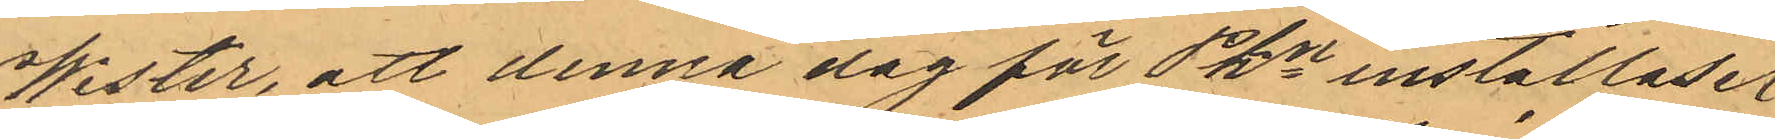Wester, att denna dag för Pkn inställas.
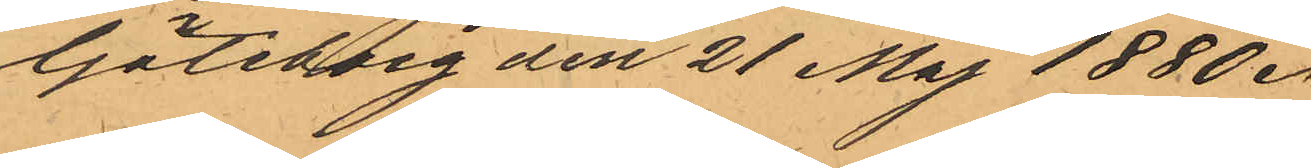Göteborg den 21 Maj 1880.
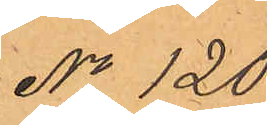No 120.
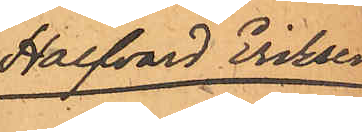Halfvard Eriksen
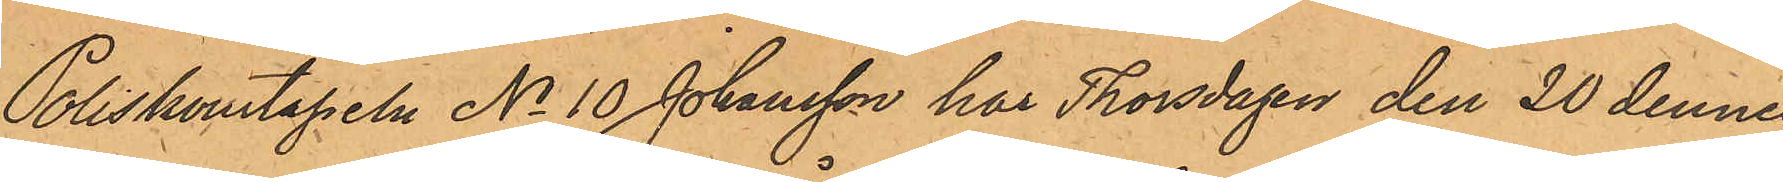Poliskonstapeln No 10 Johansson har Thorsdagen den 20 dennes
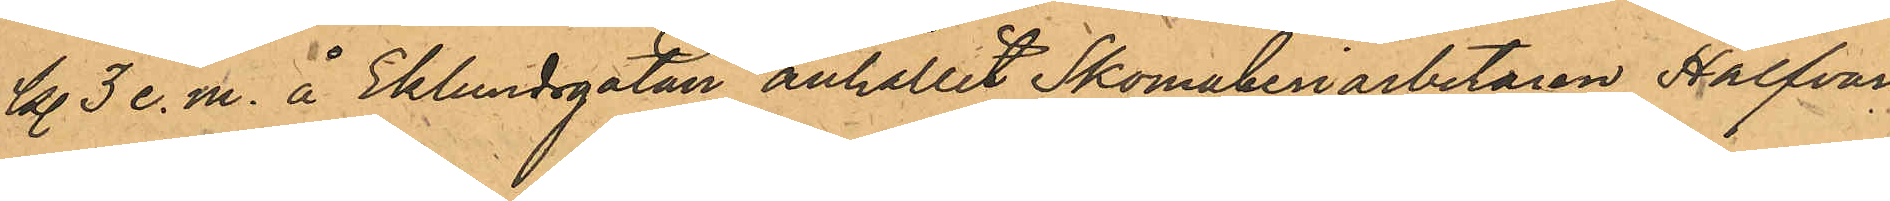kl. 3 e.m. å Eklundsgatan anhållit Skomakeriarbetaren Halfvard
